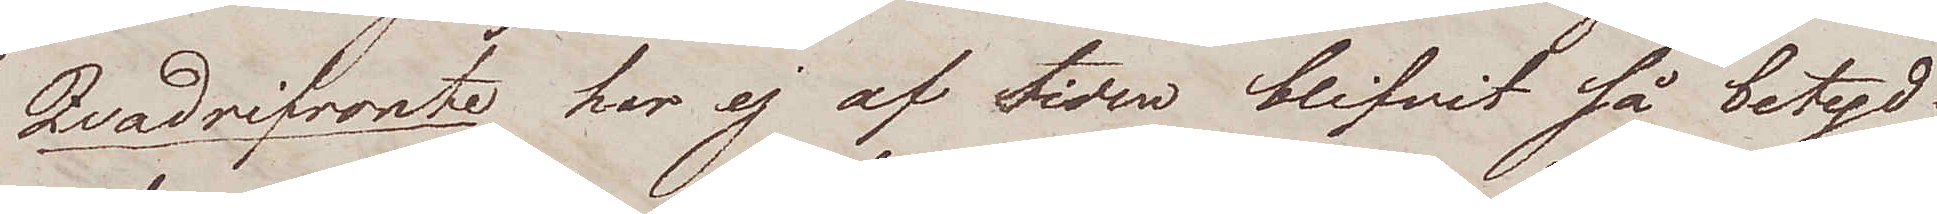Qvadrifronte har ej af tiden blifvit så betyd¬
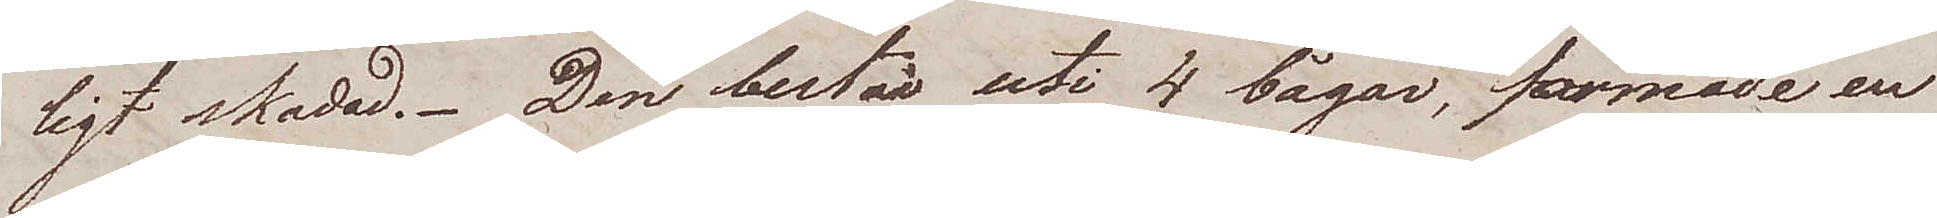ligt skadad. Den består uti 4 bågar, formade en
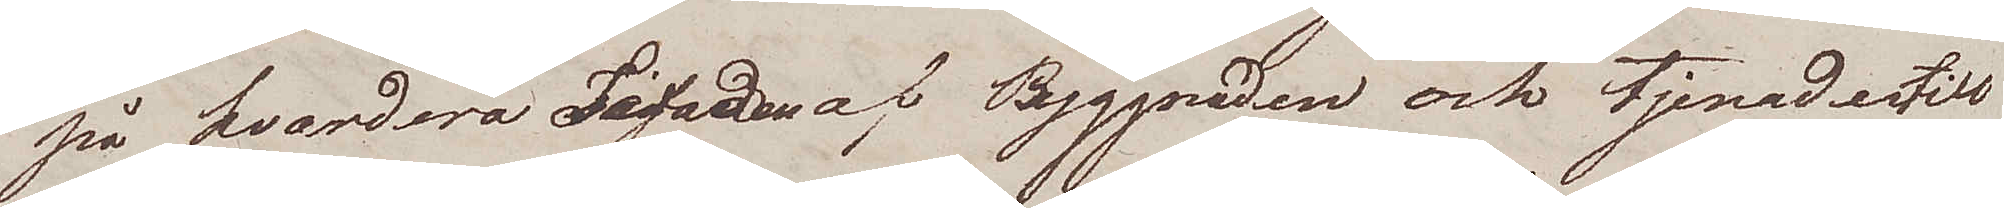på hvardera Fasaden af Byggnaden och tjenadertill
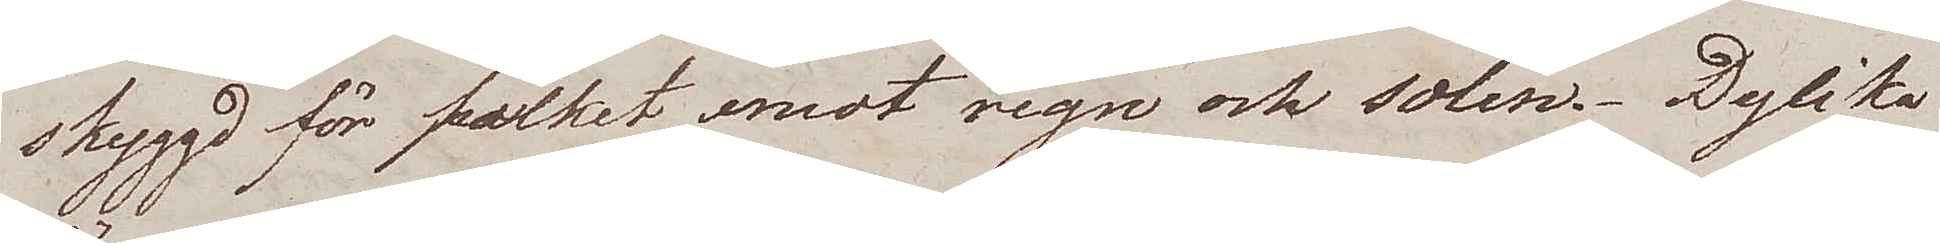skyggd för folket emot regn och solen. Dylika
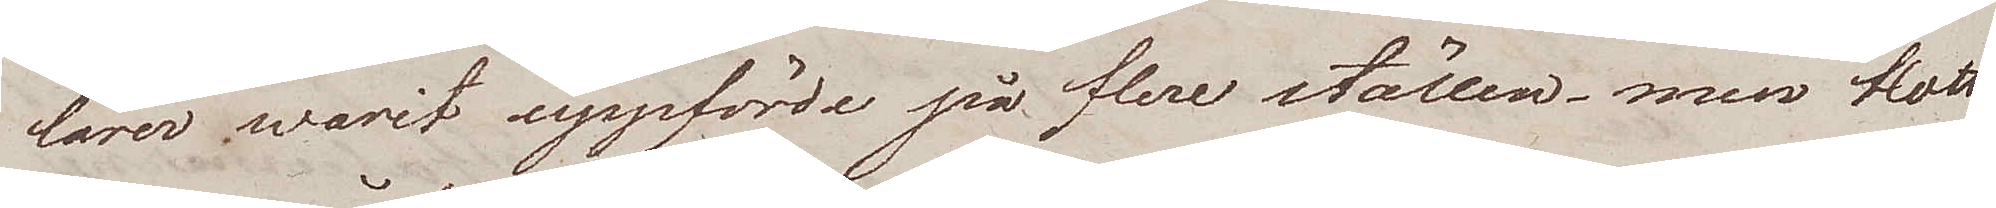lärer varit uppförde på flere ställen, men blott
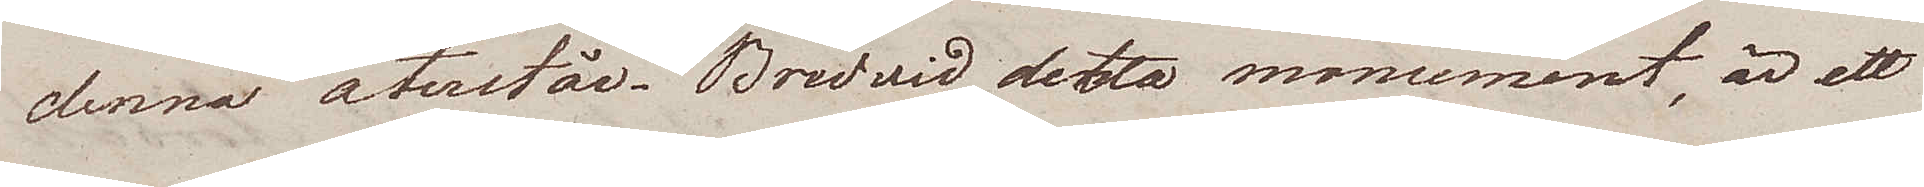denna återstår. Bredvid detta monument, är ett
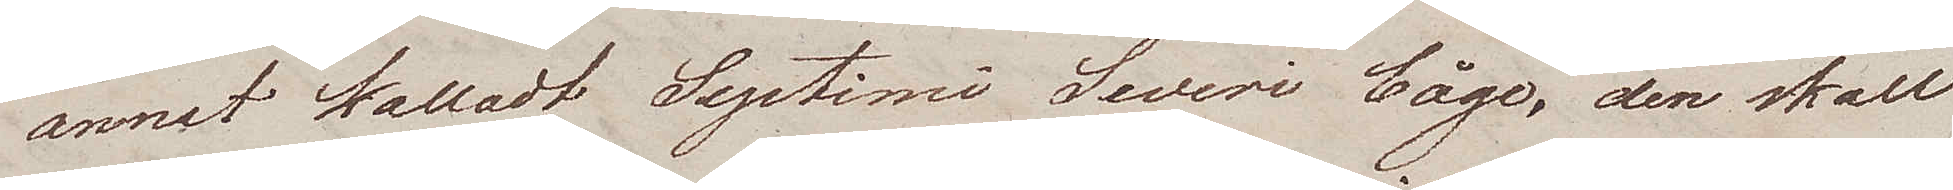annat kalladt Septimi Severi båge, den skall
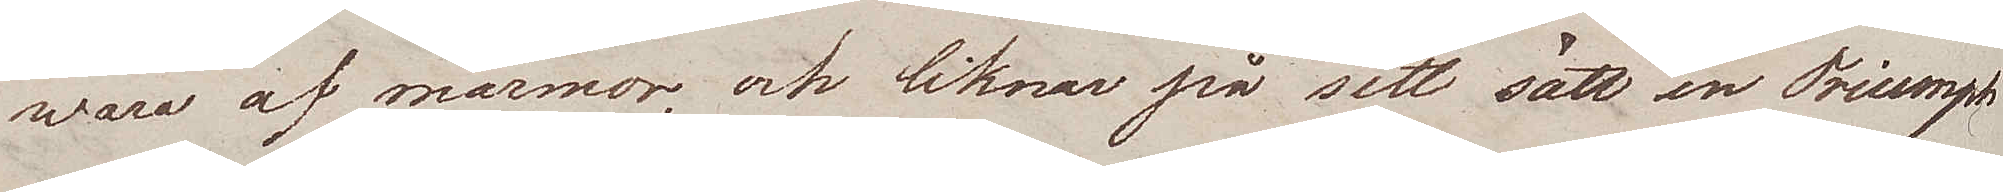wara af marmor och liknar på sitt sätt en Triumph¬
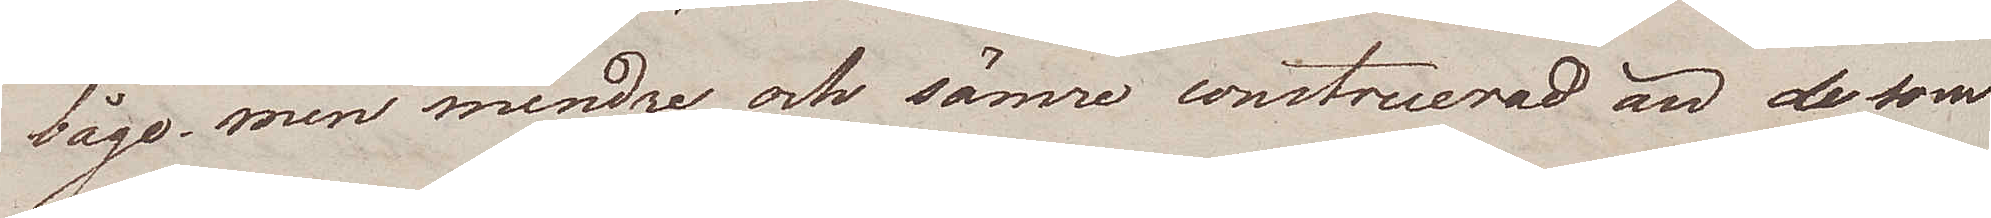båge, men mindre och sämre construerad än de som
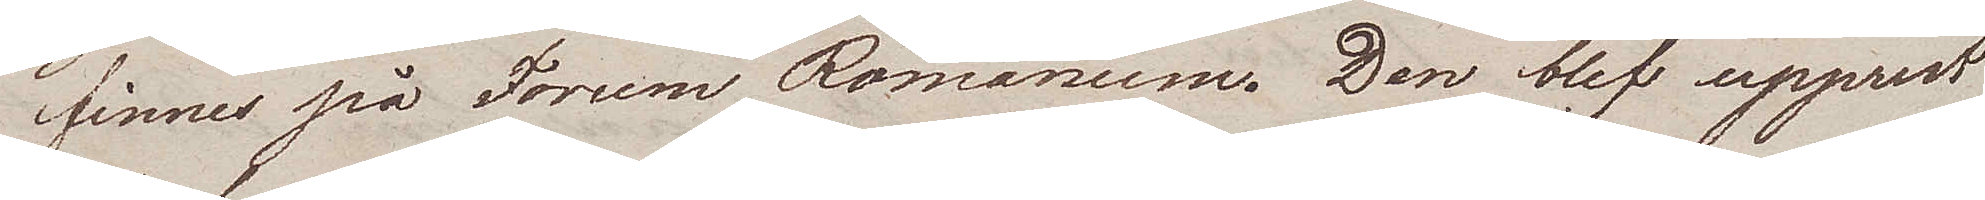finnes på Forum Romanum. Den blef upprest
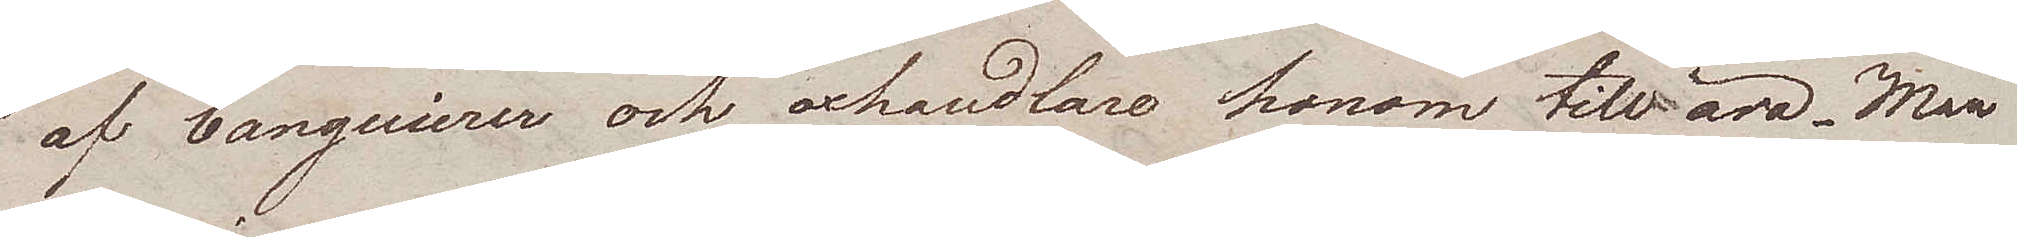af banquierer och oxhandlare honom till ära. Man
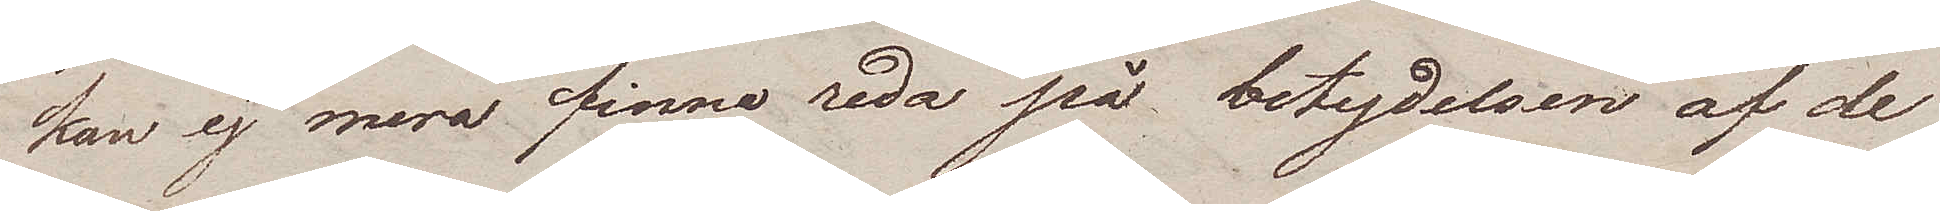kan ej mera finna reda på betydelsen af de
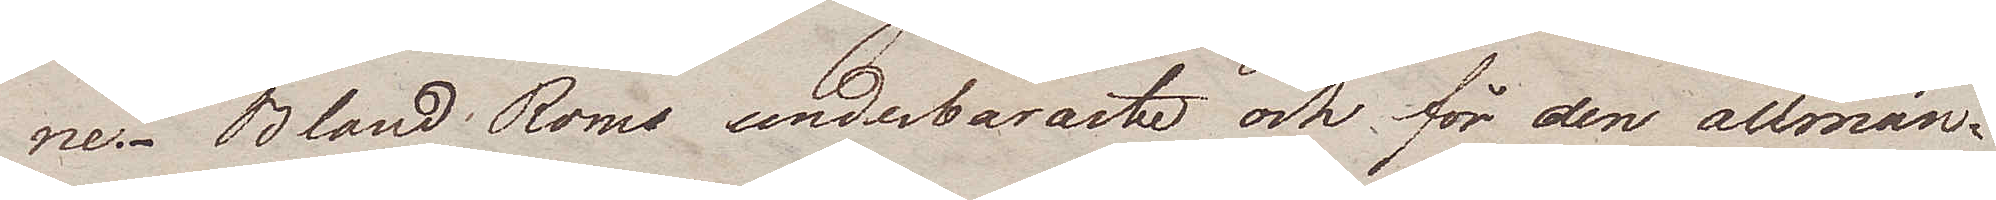ne.- Bland Roms underbaraste och för den allmän¬
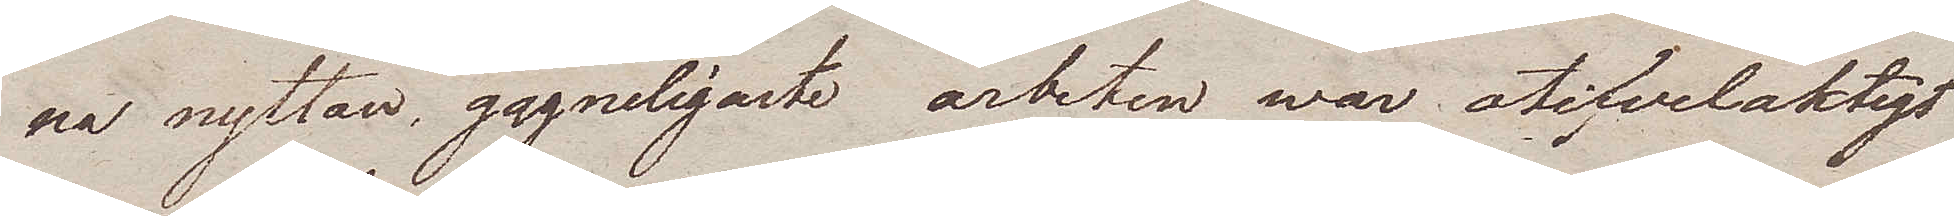na nyttan, gagneligaste arbeten war otifvelaktigt
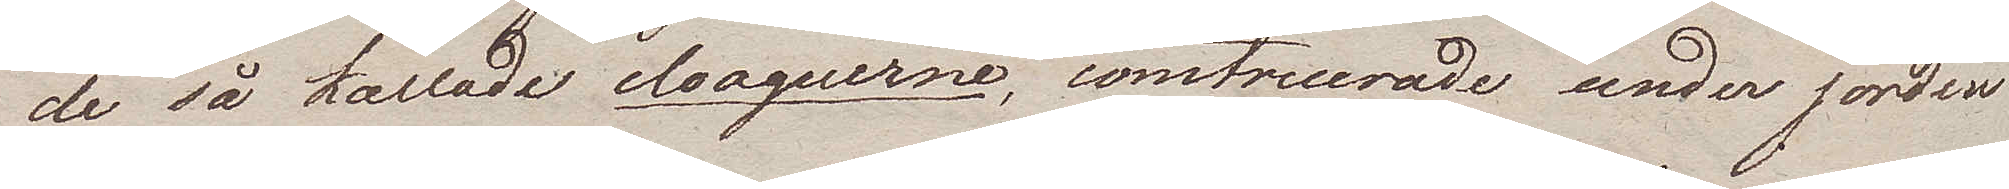de så kallade cloaquerne, construerade under jorden
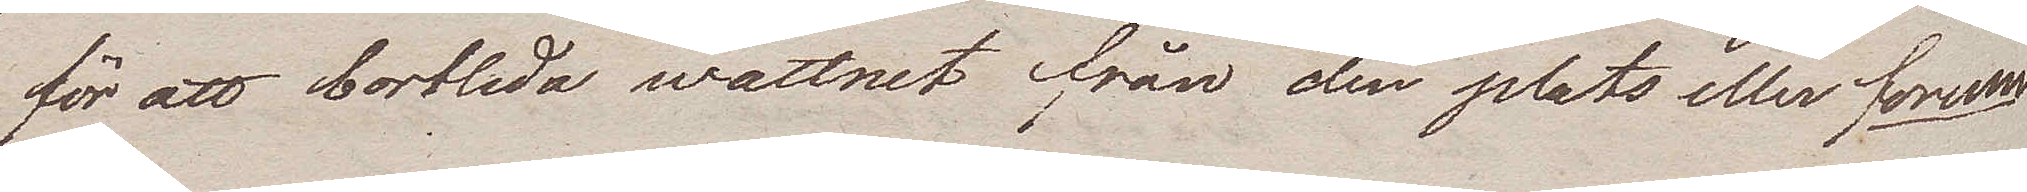för att bortleda wattnet från den plats eller forum
